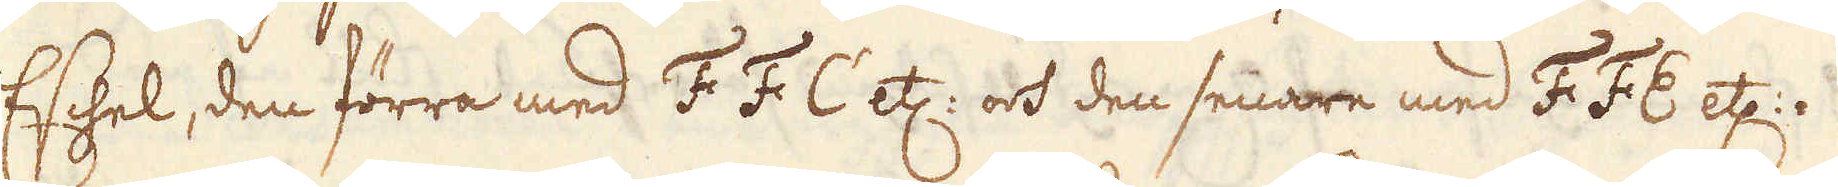Eschel, den förra med F F C etc: och den senare med F F E etc:.
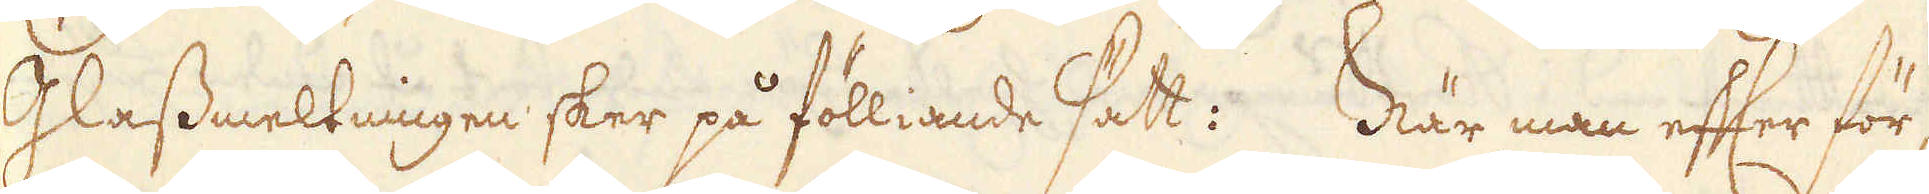Glassmeltningen sker på fölliande sätt: När man efter för-
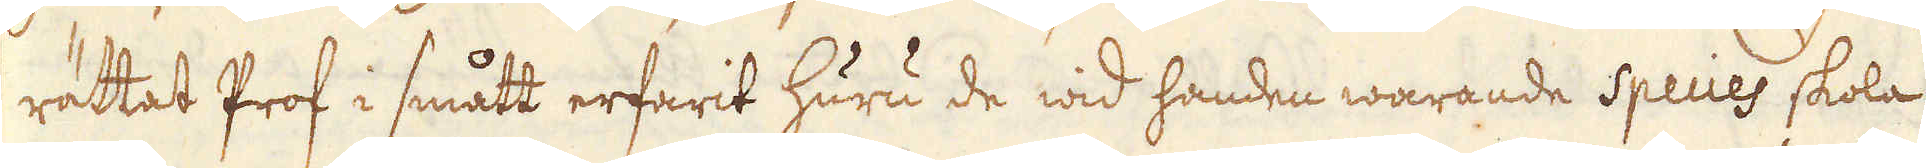rättat Prof i smått erfarit huru de wid handen warande Species skola
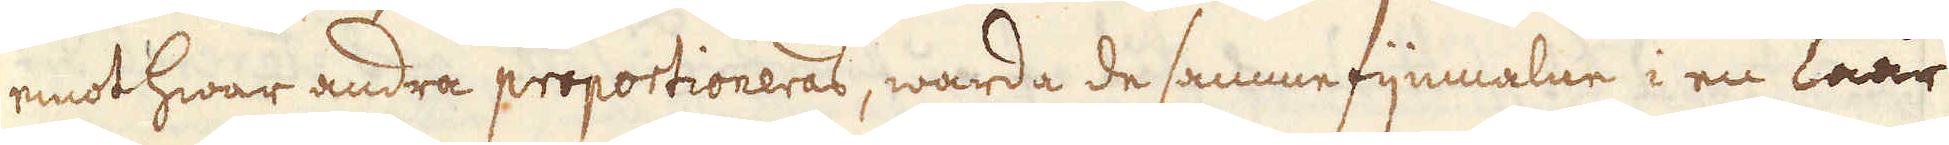emot hwar andra proportioneras, warda de samme fijnmalne i en Låår
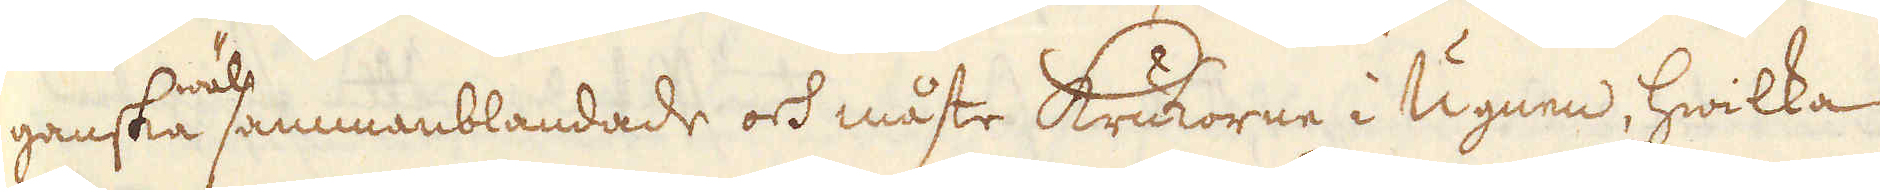ganska wäl sammanblandade och måste Krukorne i Ugnen, hwilka
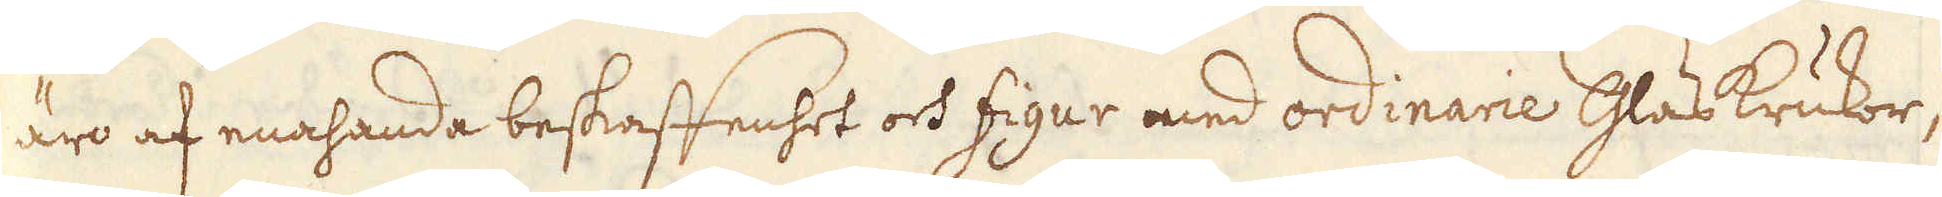äro af enahanda beskaffenhet och figur med ordinarie Glas Krukor,
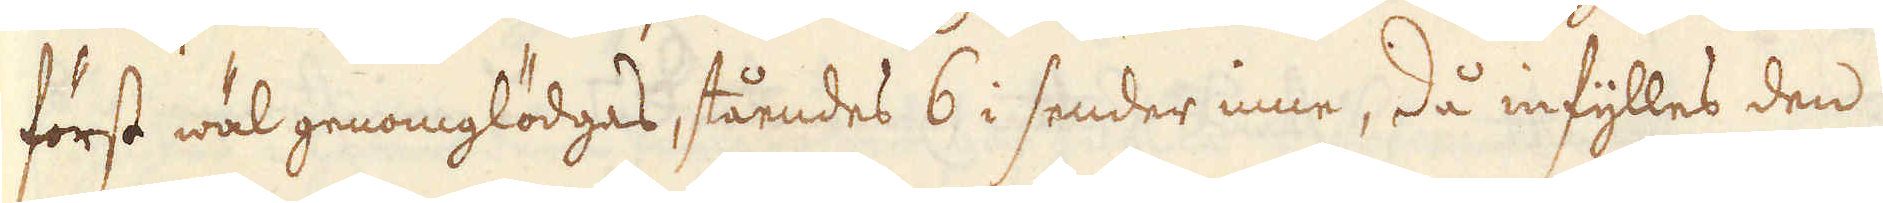först wäl genomglödgas, ståendes 6 i sender inne, då infylles den
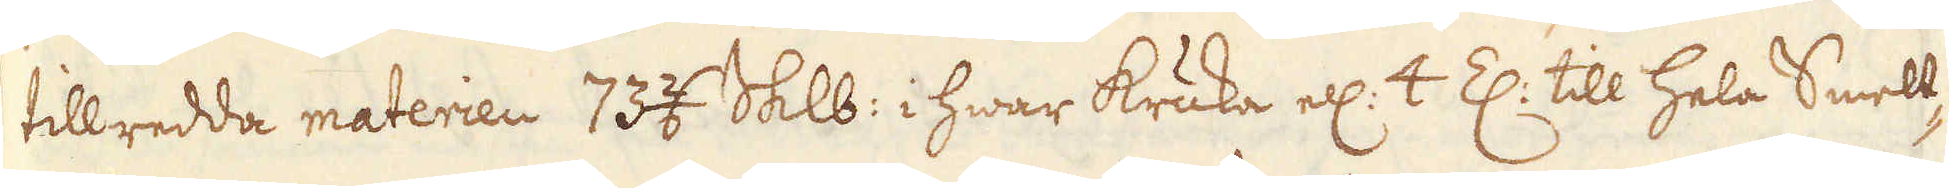tillredda materien 73 2/6 Skålpund i hwar kruka ell: 4 Z: till hela Smelt-
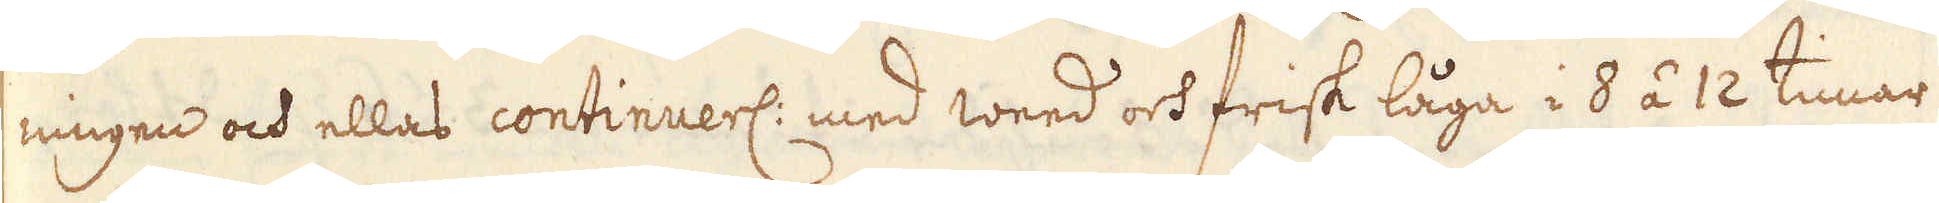ningen och ellas continuerl: med weed och frisk låga i 8 á 12 timar
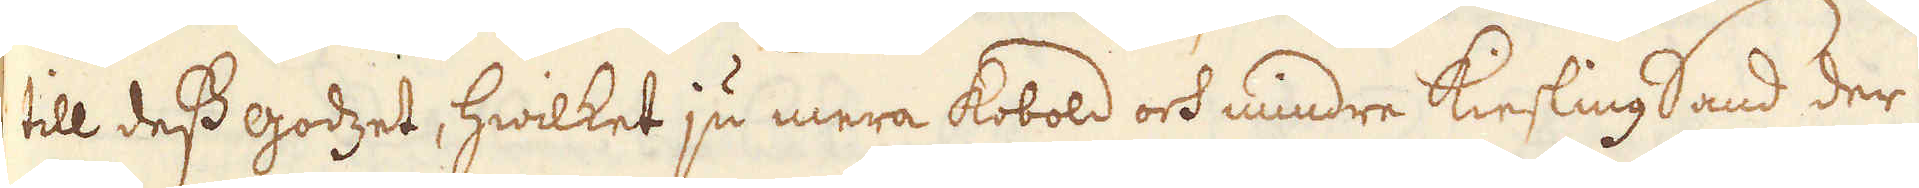till dess godzet, hwilket ju mera kobold och mindre Kiesling Sand der
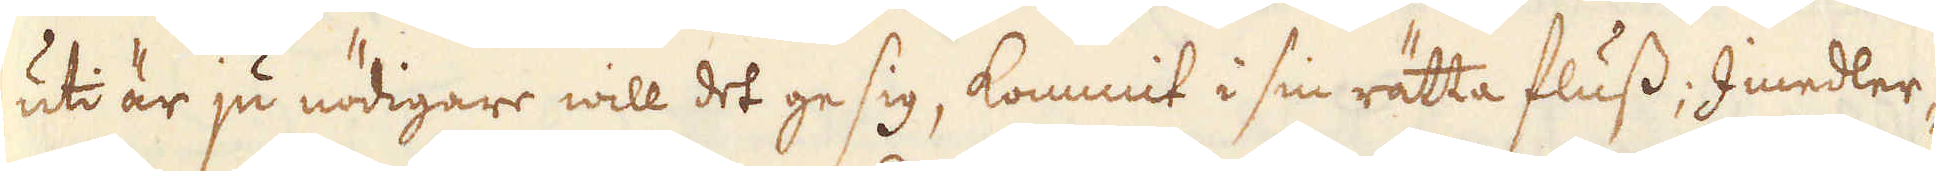uti är ju nödigare will det ge sig, kommit i sin rätta fluss; Imedler-
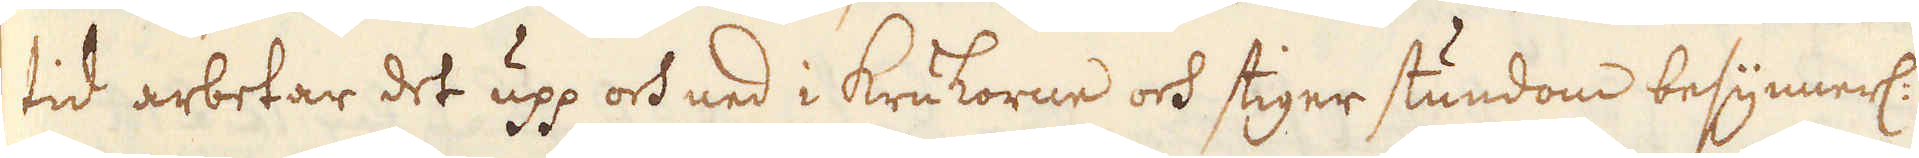tid arbetar det upp och ned i Krukorne och stiger stundom besynnerl:
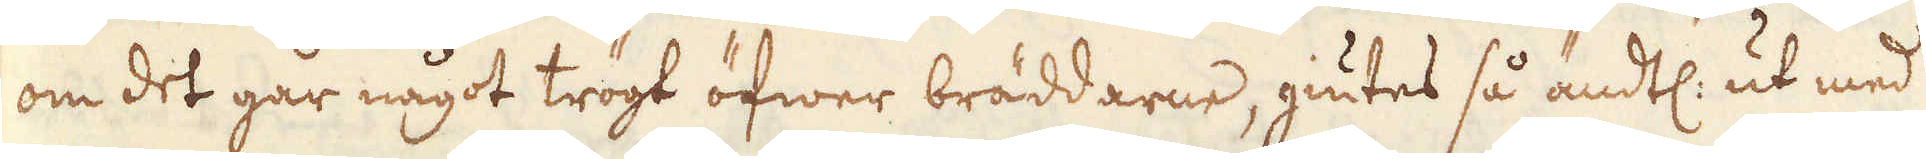om det går något trögt öfwer bräddarne, giutes så ändtl: ut med
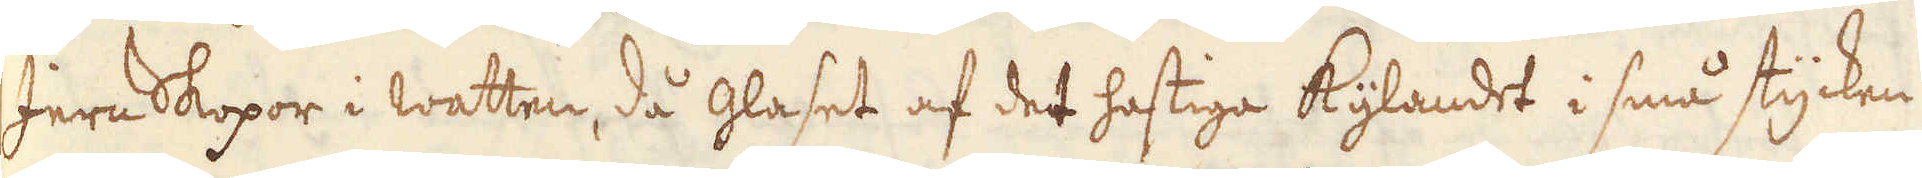Jern Skopor i watten, då glaset af det hastiga kylandet i små stycken
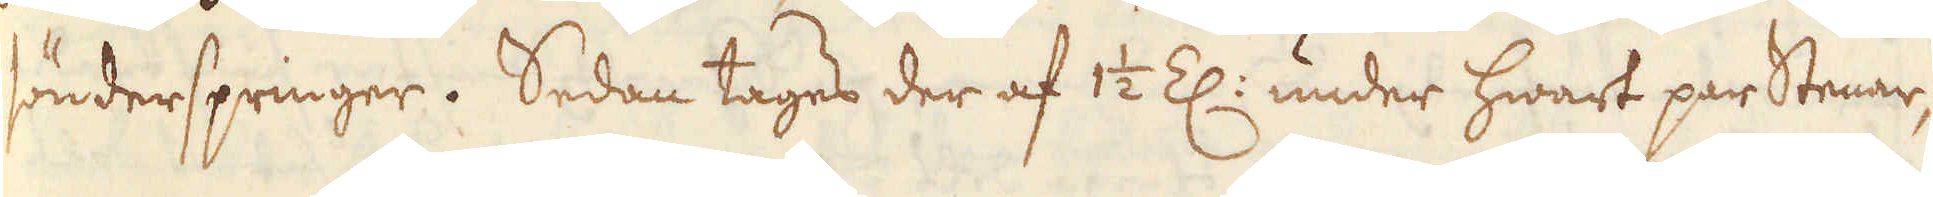sönderspringer. Sedan tages der af 1 1/2 Z: under hwart par stenar,
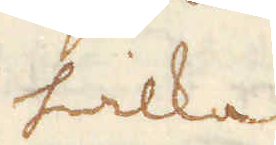hwilka
